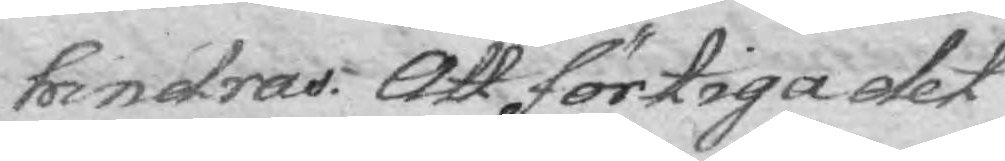hondras. Att förtiga det
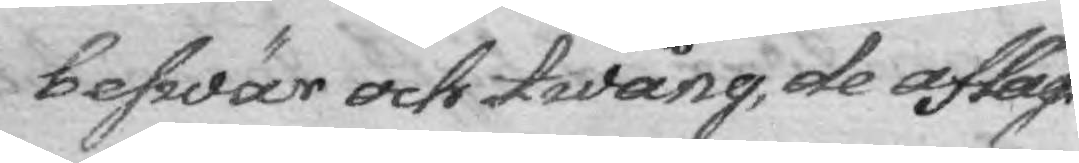beswär och twång, de aflägs¬
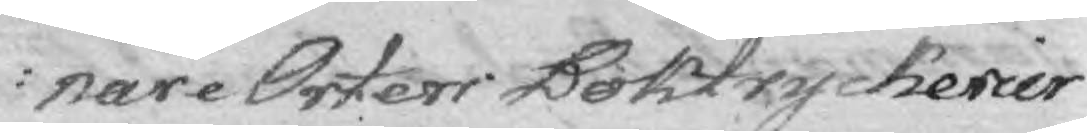nare Orter Boktryckerier
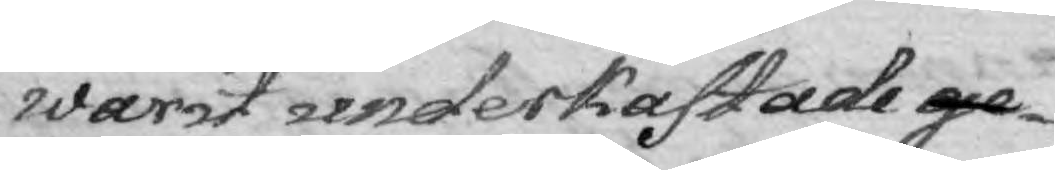warit underkastade ge¬
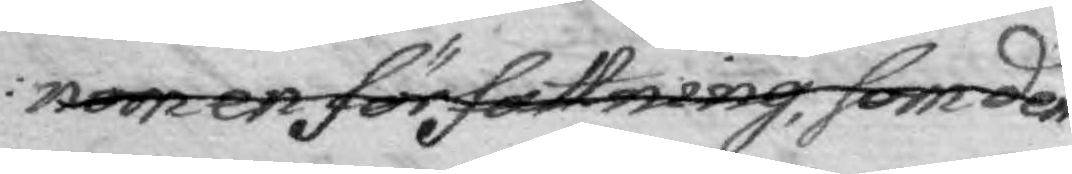nom en författning, som dem
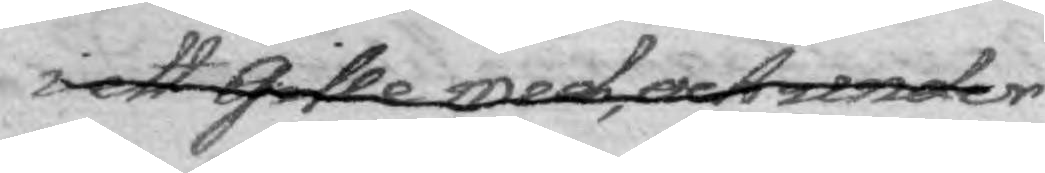i ett Gille med, och under
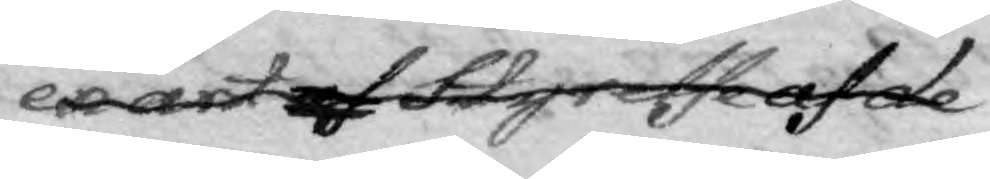en art af Styrelse af de
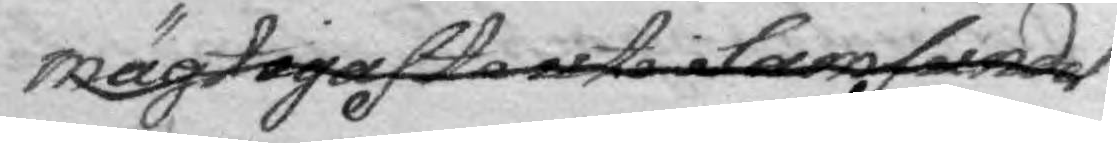mägtigaste uti i Samfundet
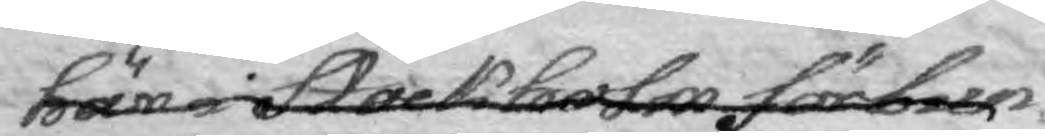här i Stockholm förbun¬
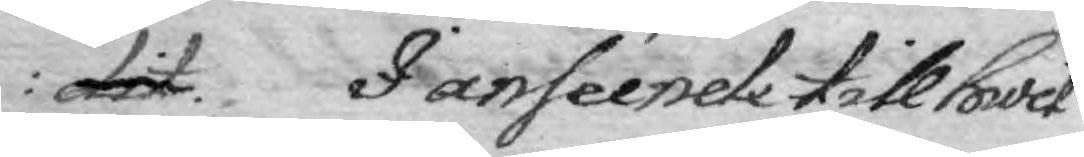dit. I anséende till hwil¬
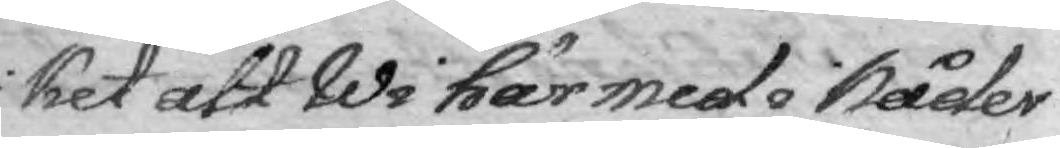ket att Wi härmed i Nåder
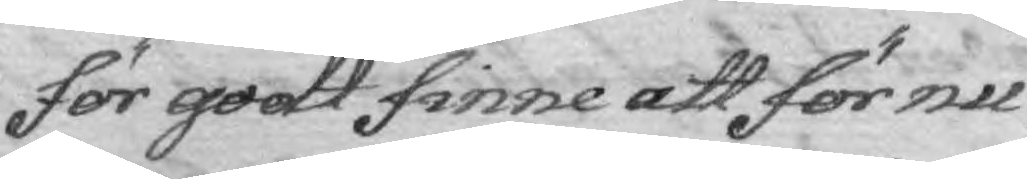för godt sinne att för nu
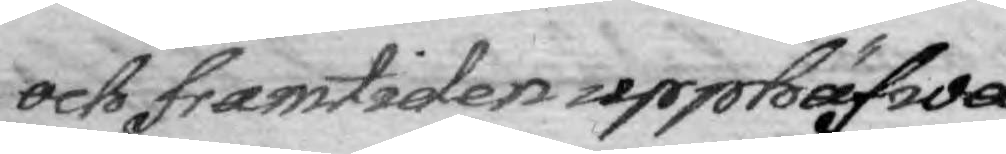och framtiden upphäfwa
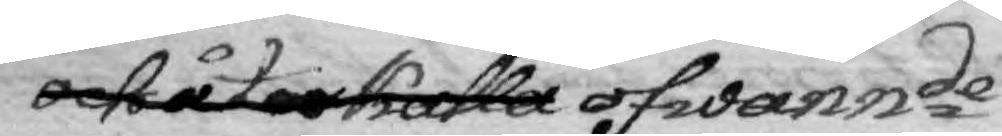och återkalla ofwannde
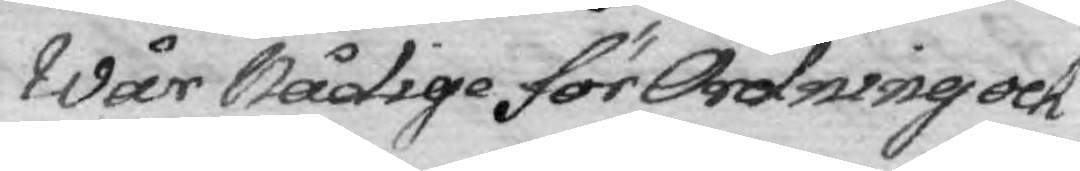Wår Nådige för Ordning och
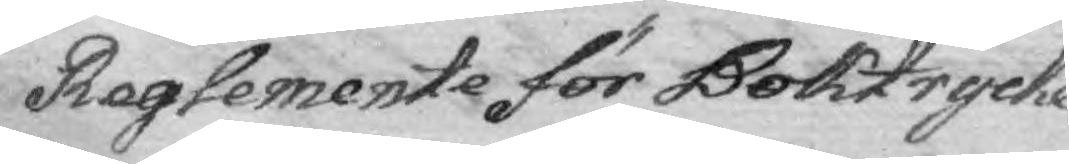Reglemente för Boktrycke¬
